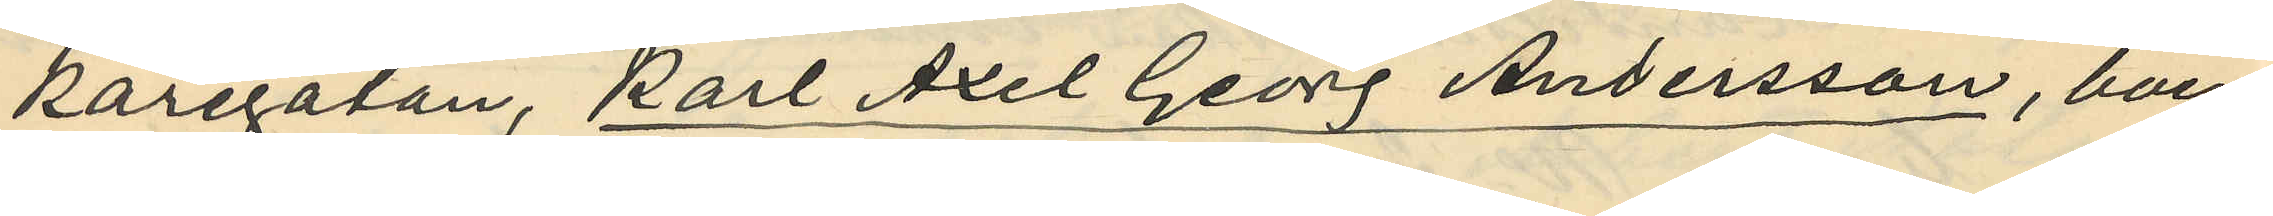karegatan, Karl Axel Georg Andersson, boen¬
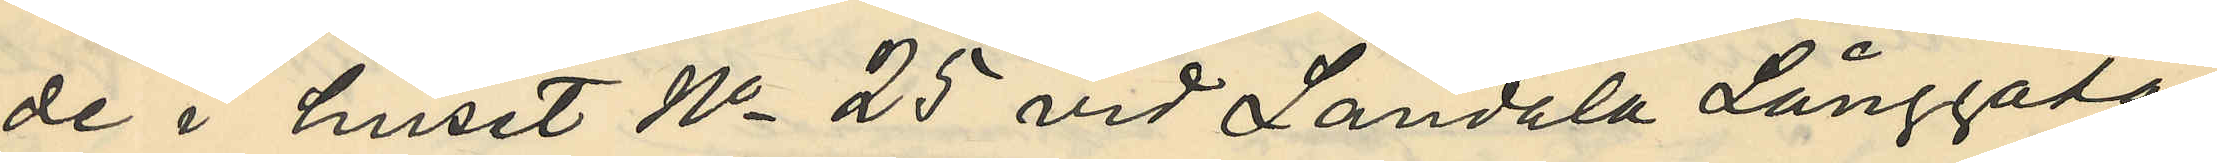de i huset No 25 vid Landala Långgata
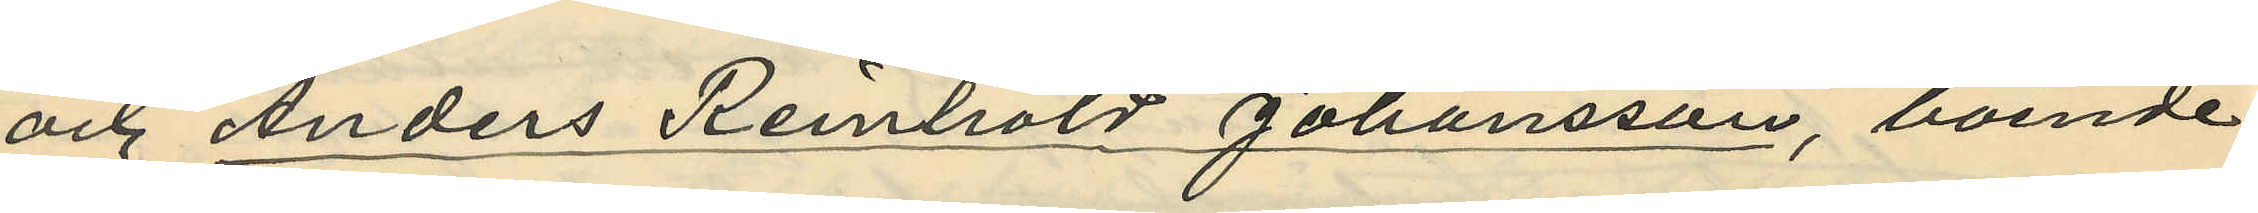och Anders Reinhold Johansson, boende
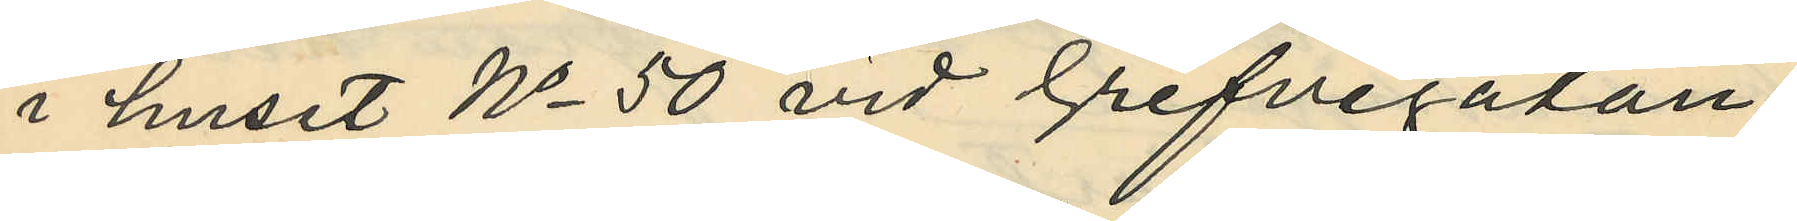i huset No 50 vid Grefvegatan.
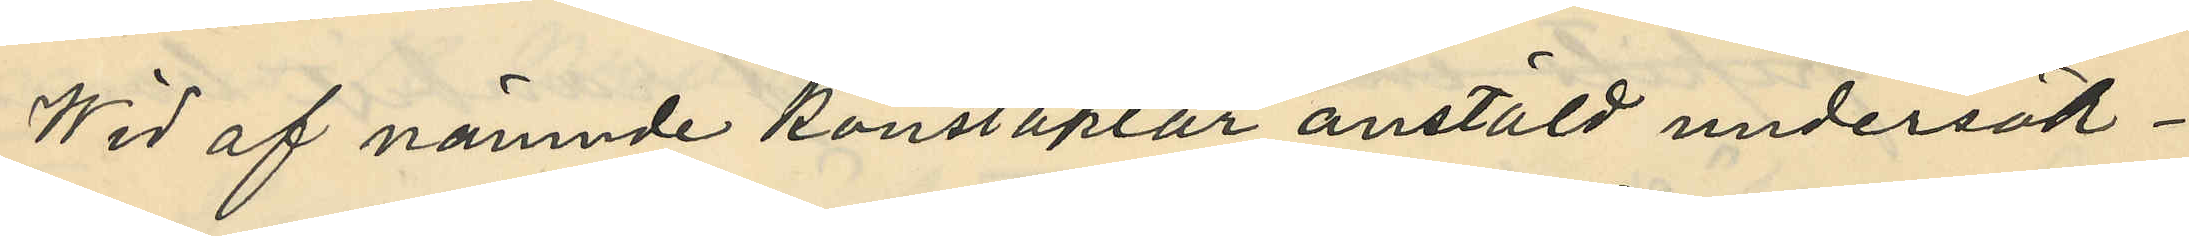Wid af nämnde konstaplar anstäld undersök¬
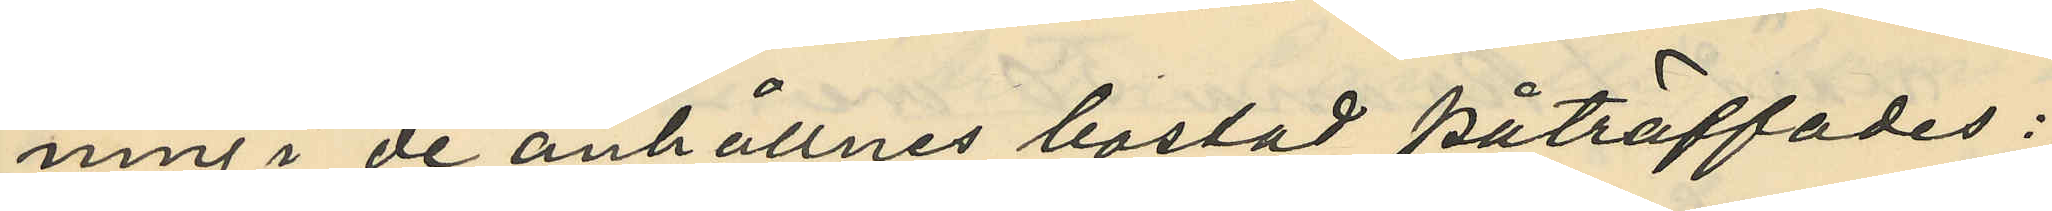ning i de anhållnes bostad påträffades:
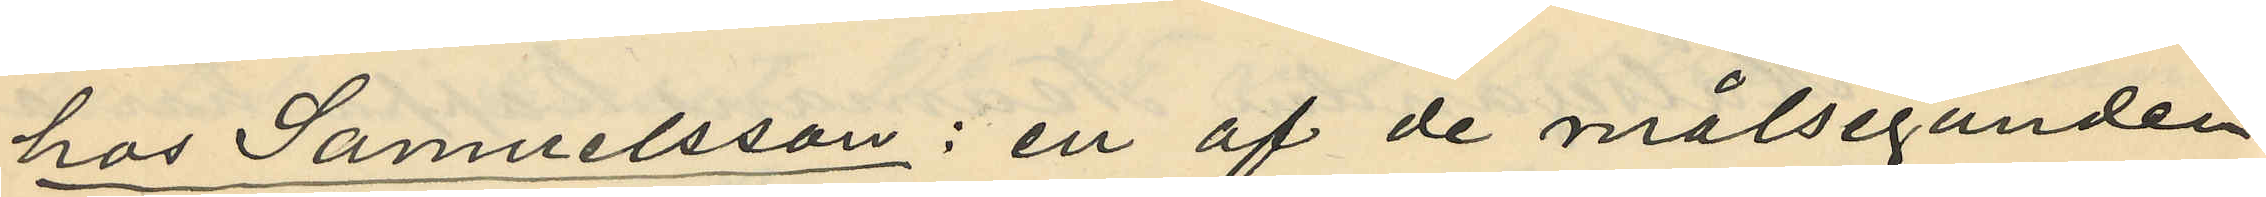hos Samuelsson: en af de målseganden
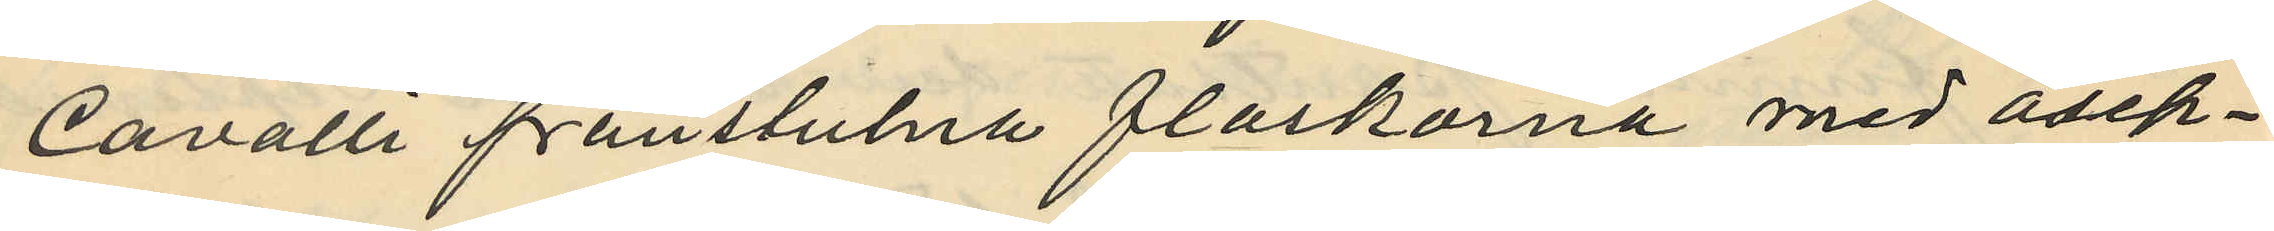Cavalli frånstulna flaskorna med asep¬
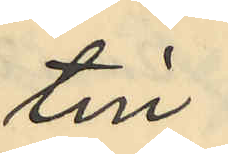tin;
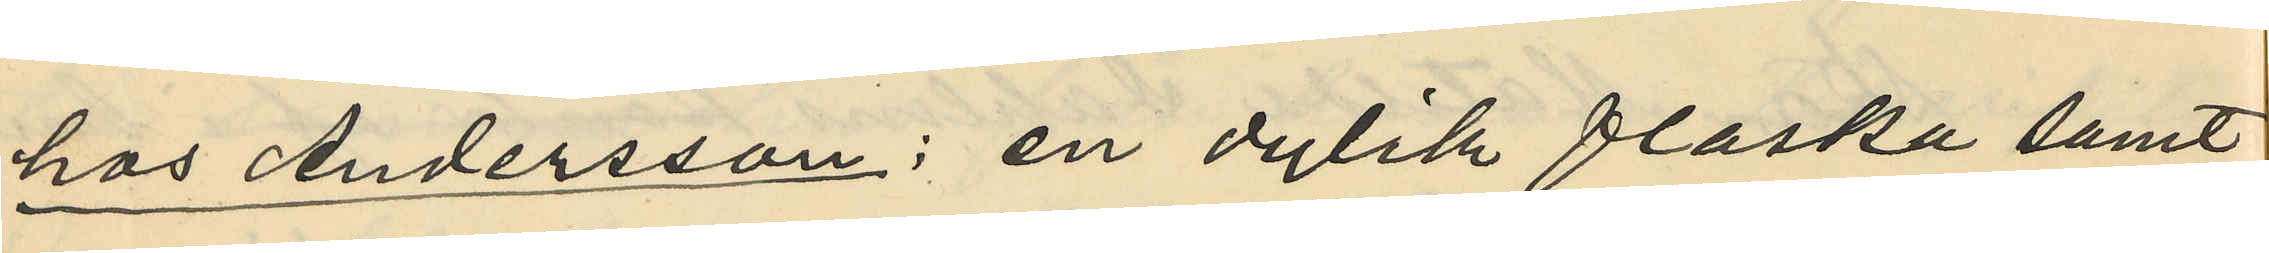hos Andersson: en dylik flaska samt
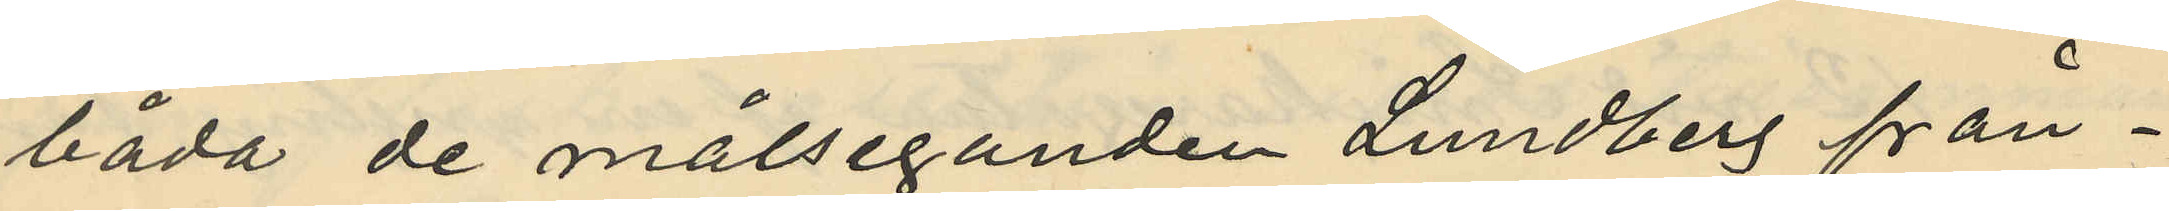båda de målseganden Lundberg från¬
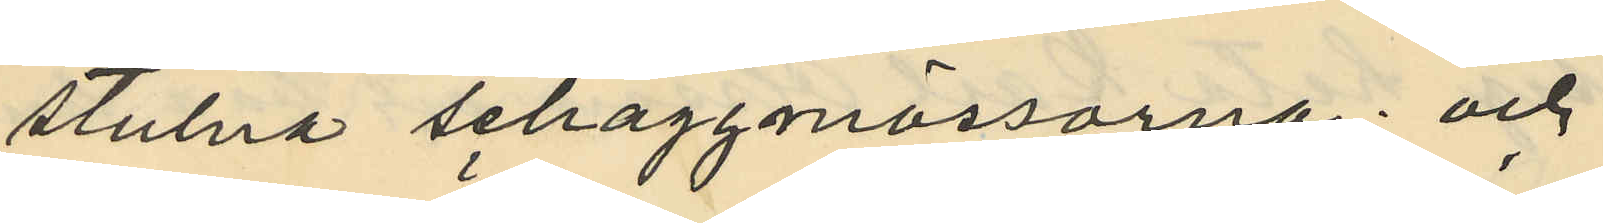stulna schaggmössorna; och
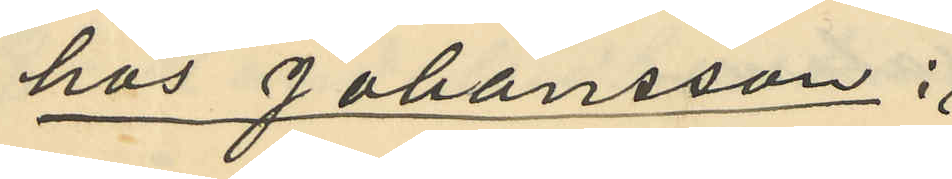hos Johansson:
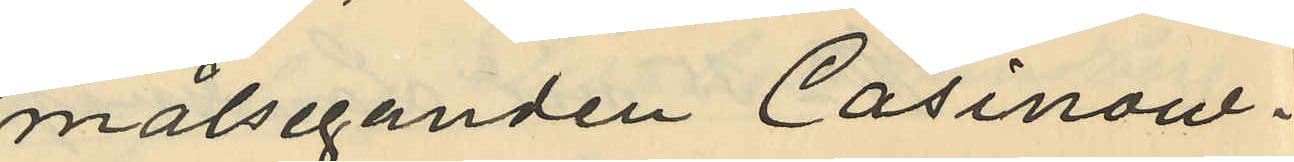målseganden Casinow¬
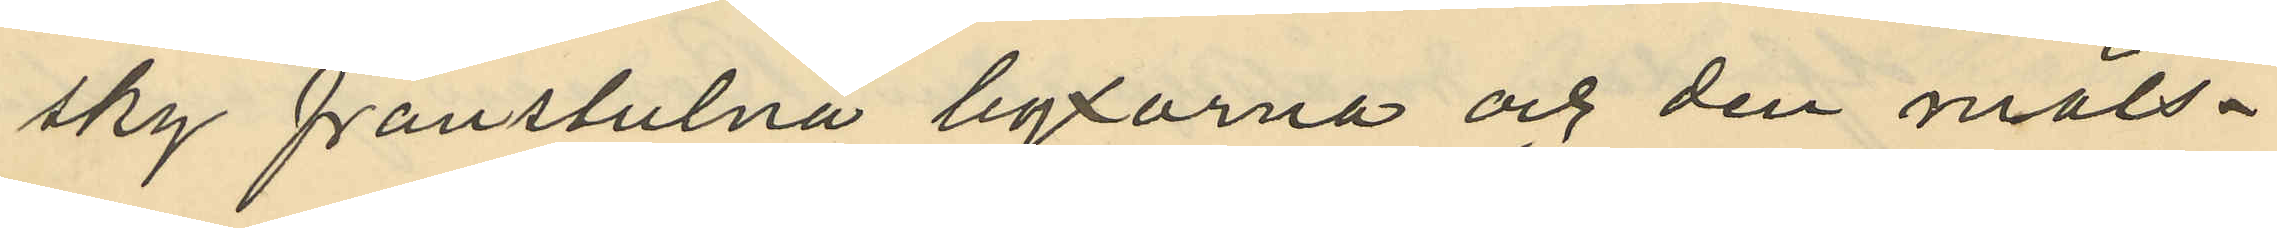sky frånstulna byxorna och den måls¬
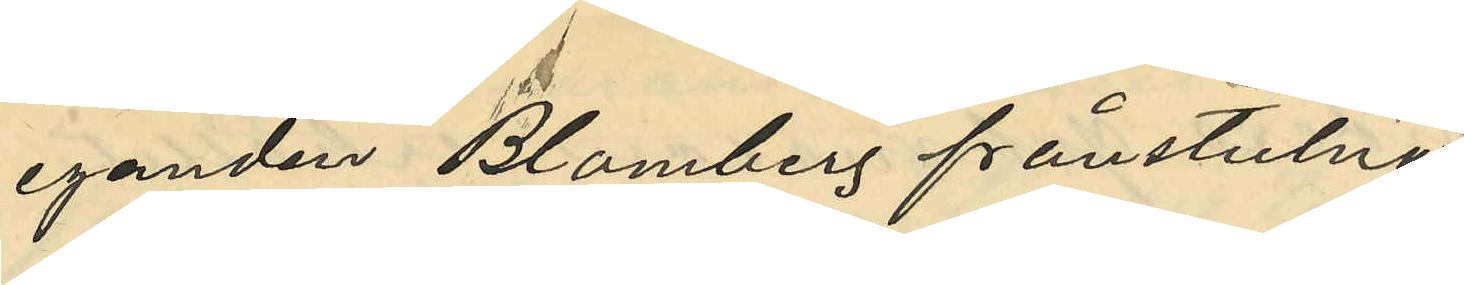eganden Blomberg frånstulna
